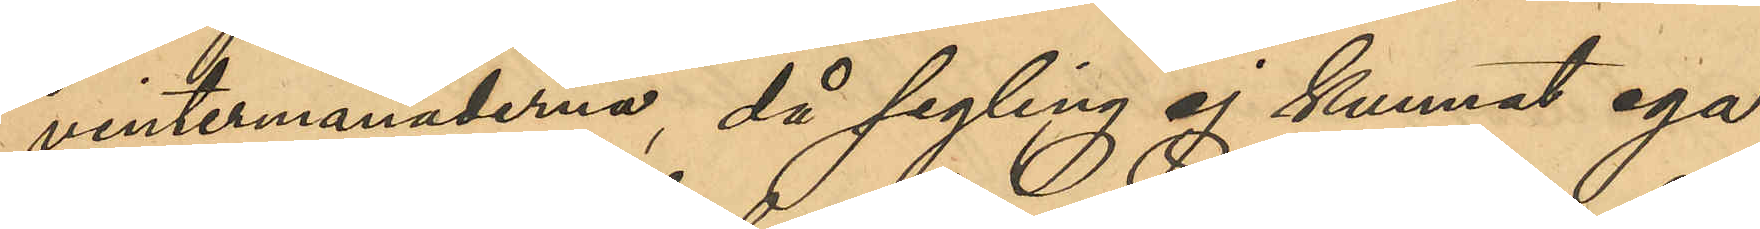vintermånaderna, då segling ej kunnat ega
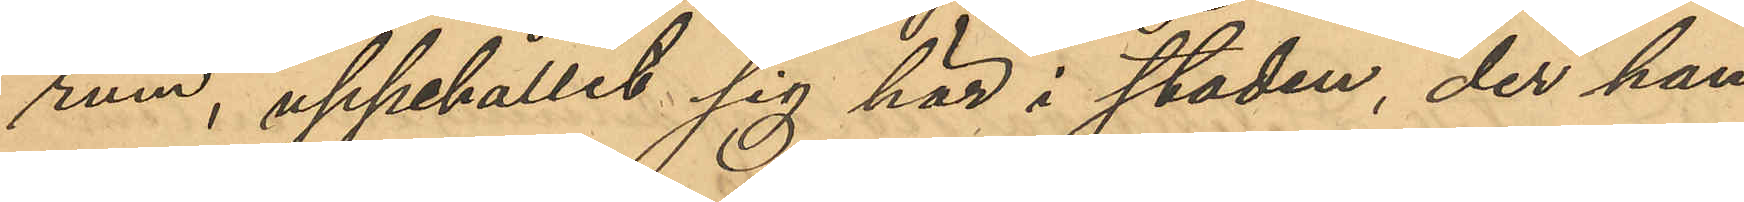rum, uppehållit sig här i staden, der han
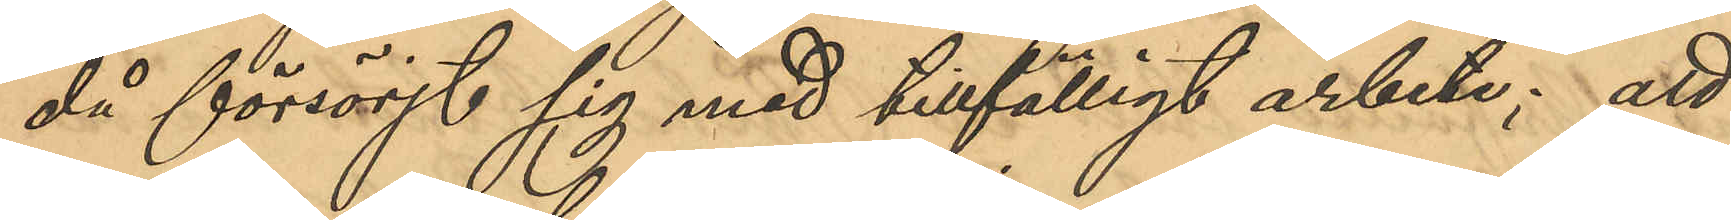då försörjt sig med tillfälligt arbete; att
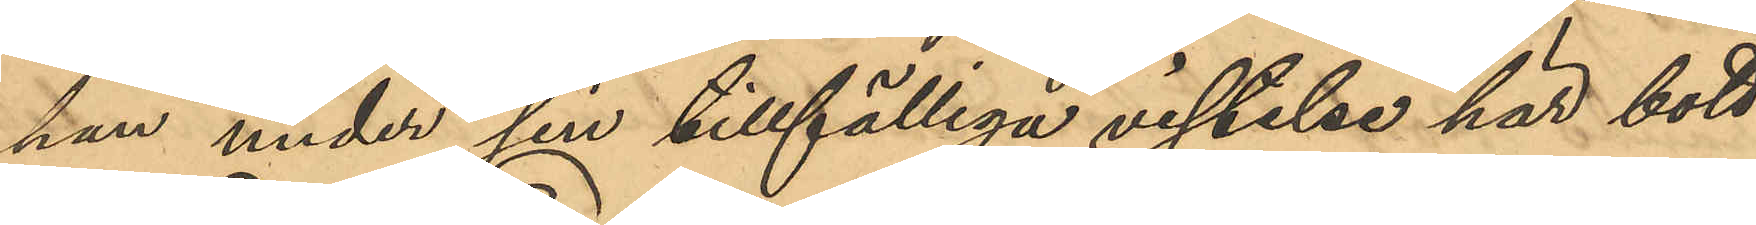han under sin tillfälliga vistelse här bott
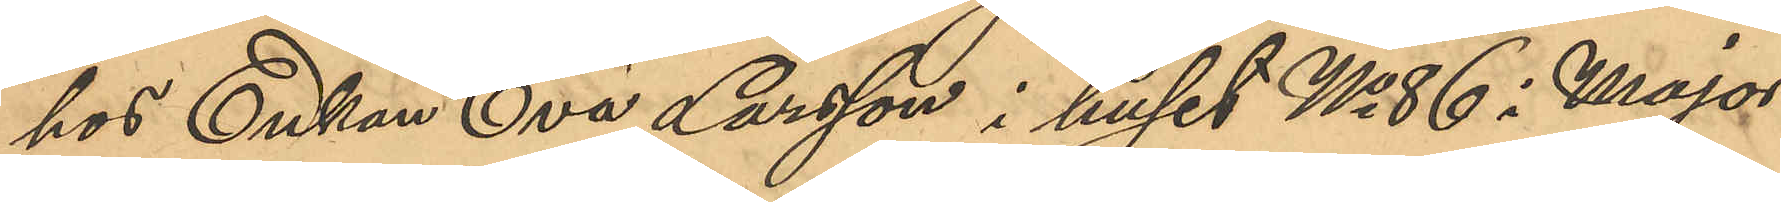hos Enkan Eva Larsson i huset No 86 i Major¬
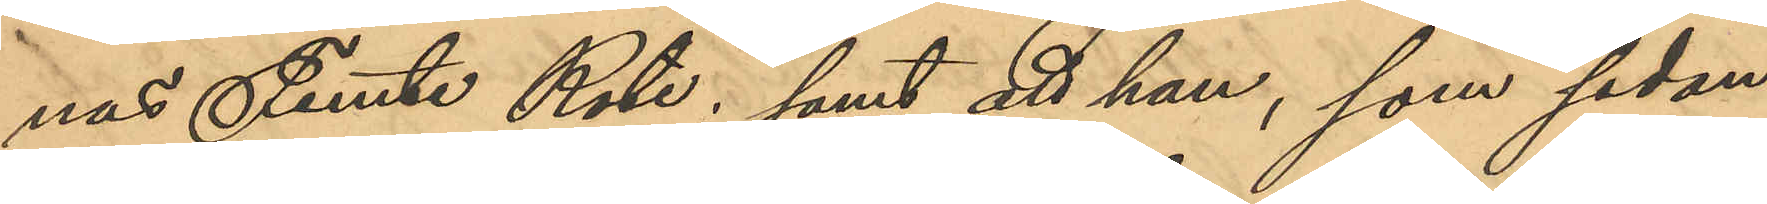nas Femte Rote; samt att han, som sedan
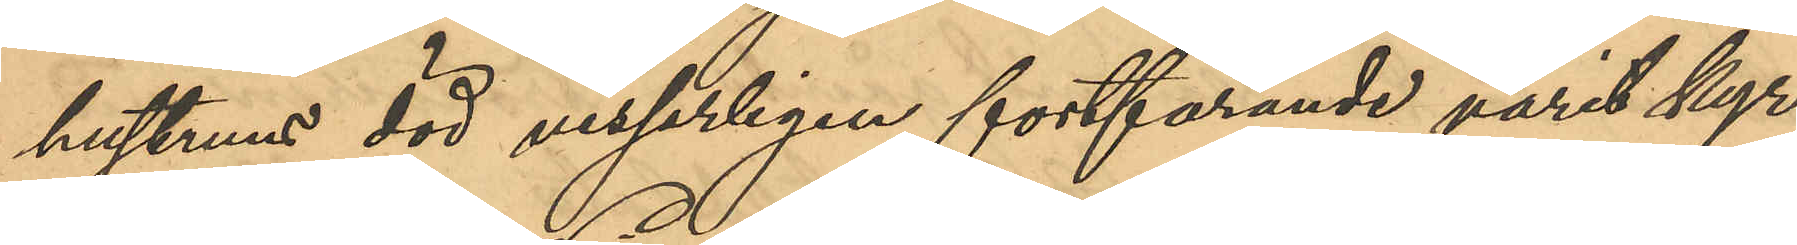hustruns död visserligen fortfarande varit kyr¬
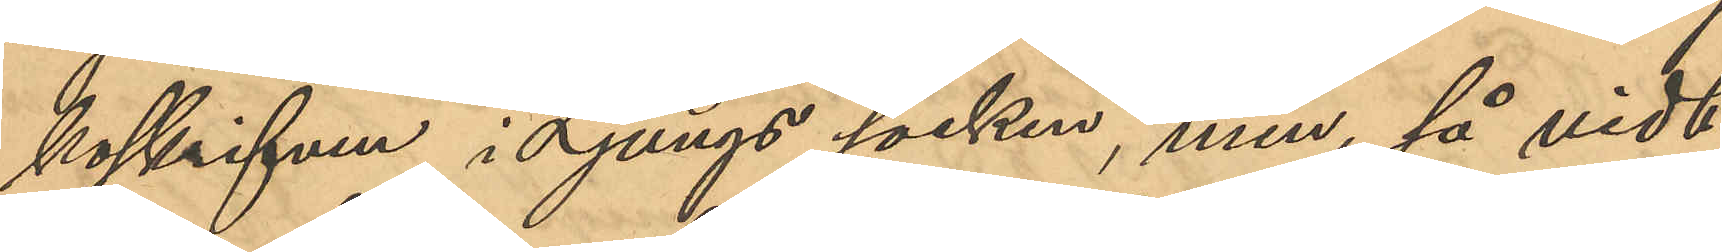koskrifven i Ljungs socken, men, så vidt
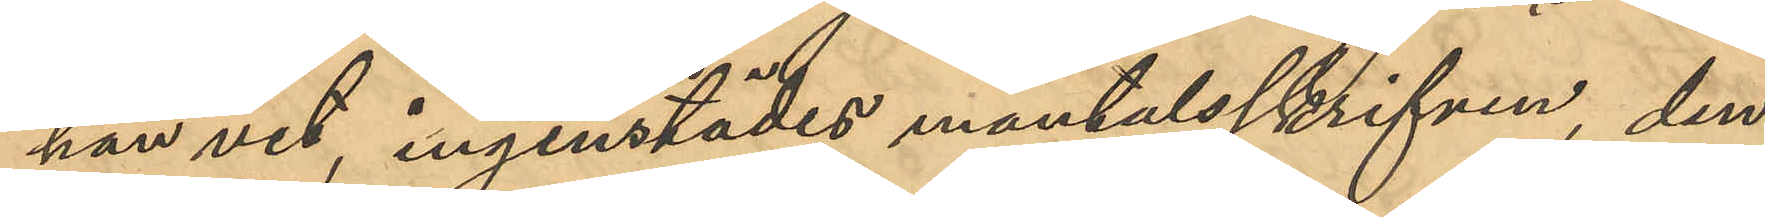han vet, ingenstädes mantalsskrifven, den
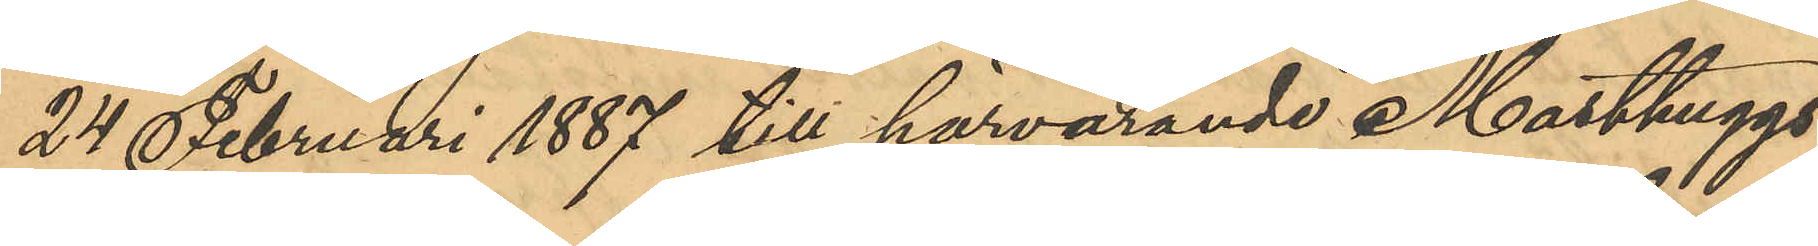24 Februari 1887 till härvarande Masthuggs¬
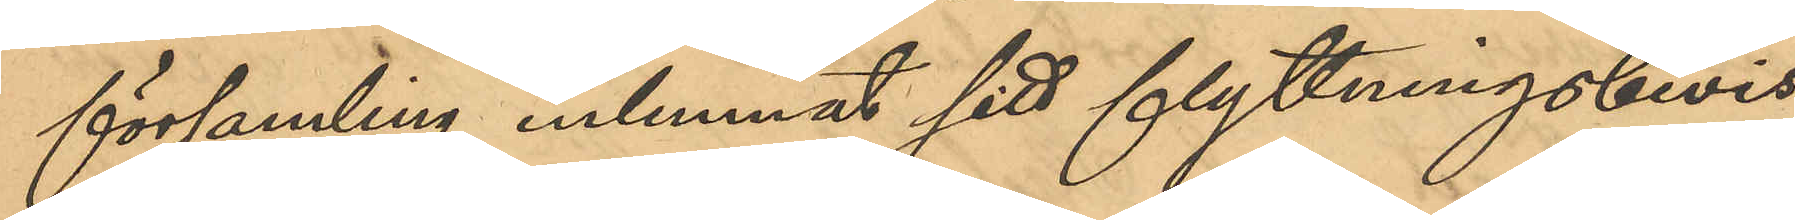församling inlemnat sitt flyttningsbevis
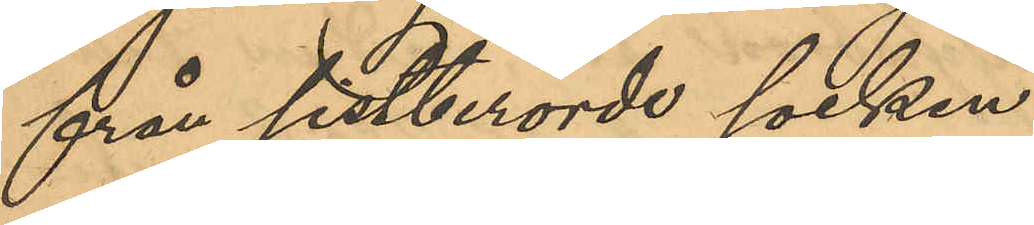från sistberörde socken.
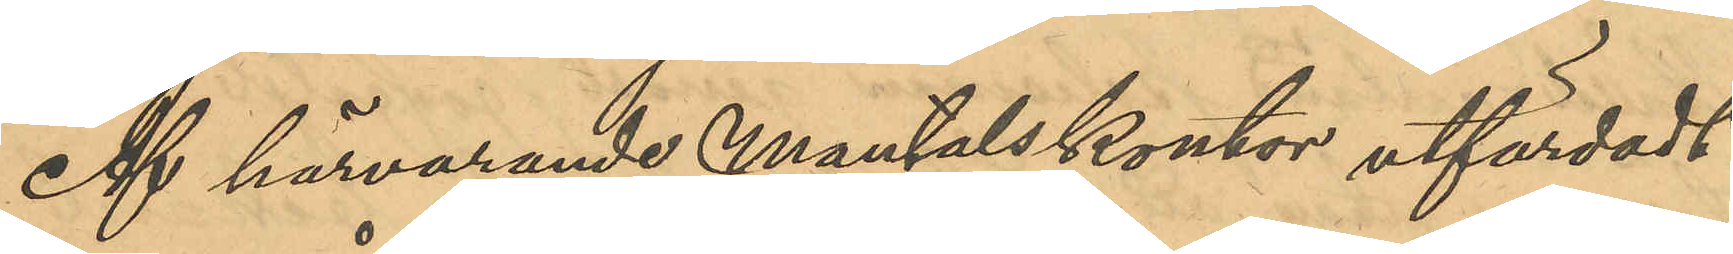Af härvarande Mantalskontor utfärdadt
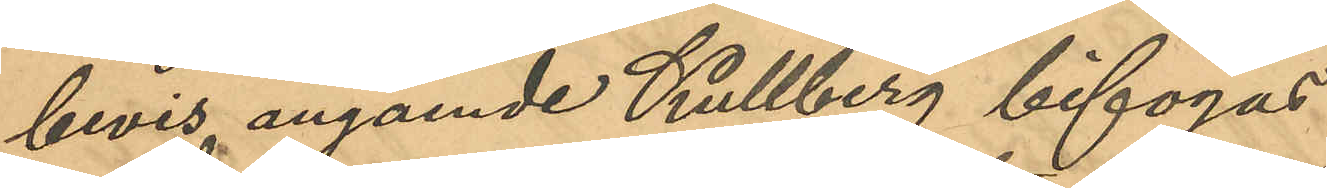bevis angående Kullberg bifogas,
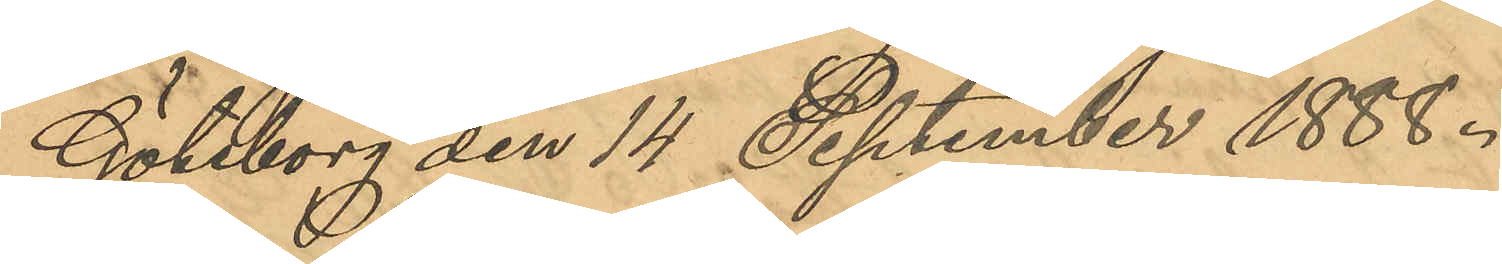Göteborg den 14 September 1888.
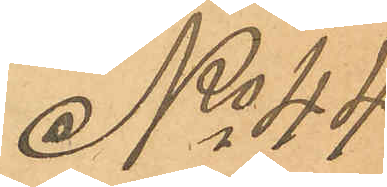No 44
